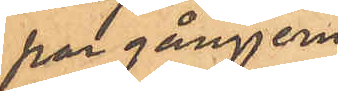par gångjern
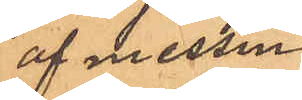af messing
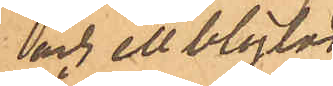och ett blylod
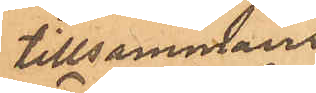tillsammans
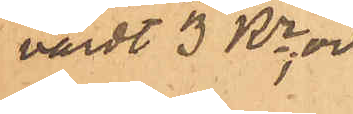värdt 3 Kr; och
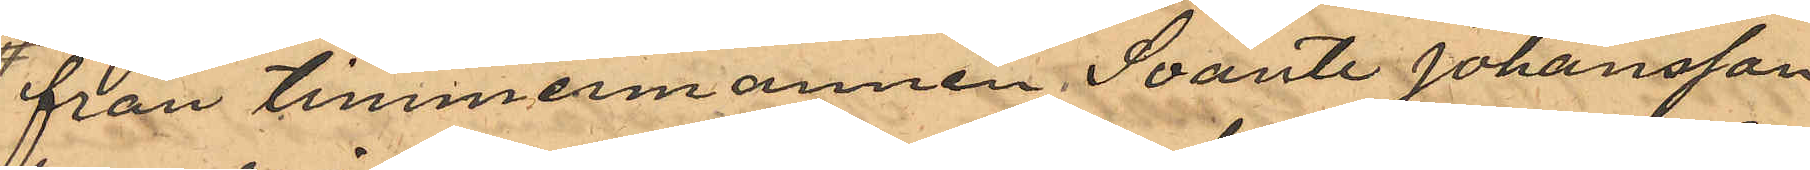från timmermannen Svante Johansson
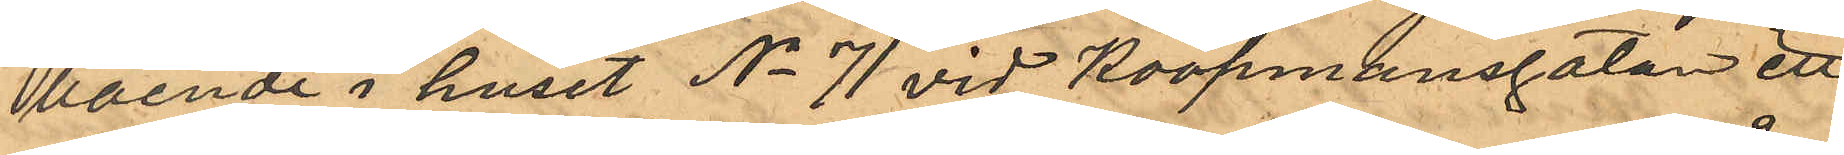boende i huset No 71 vid Koopmansgatan ett
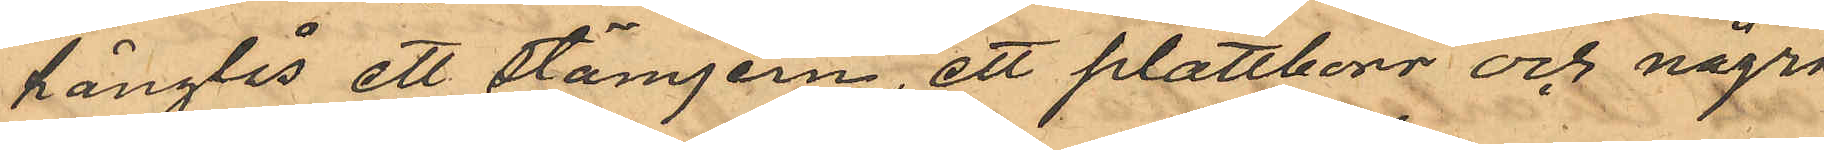hänglås ett stämjern, ett plattborr och några
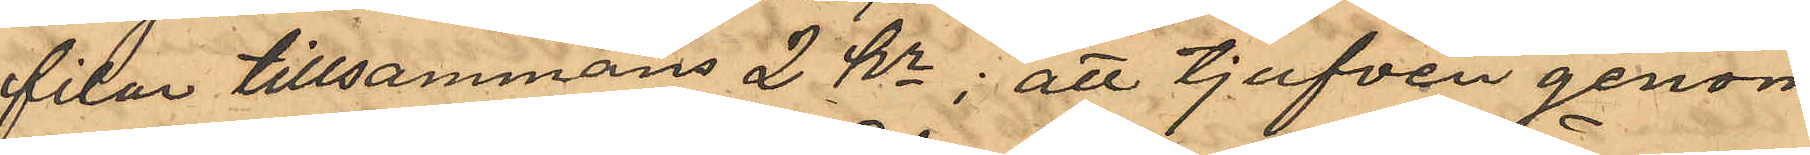filar tillsammans 2 Kr; att tjufven genom
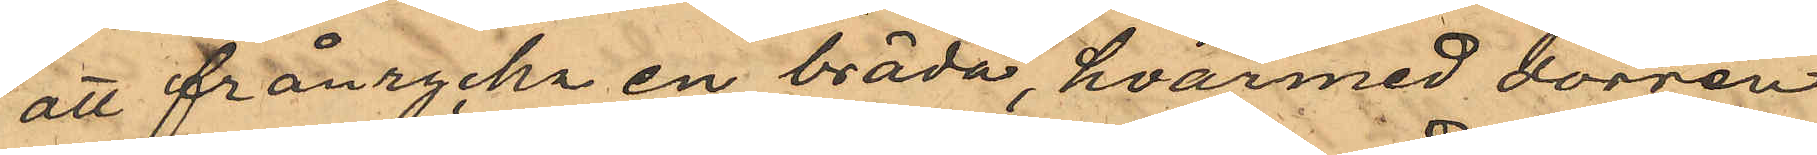att frånrycka en bräda, hvarmed dörren
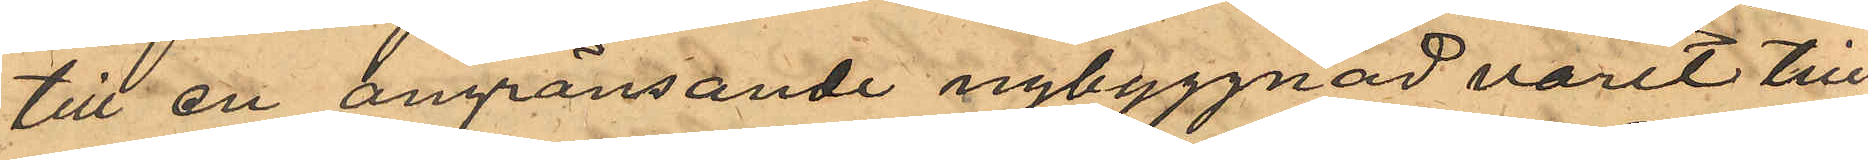till en angränsande nybyggnad varit till¬
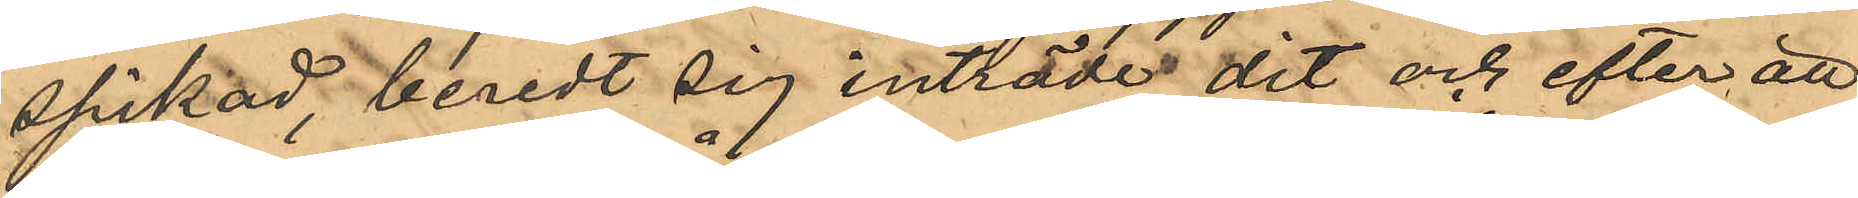spikad, beredt sig inträde dit och efter att
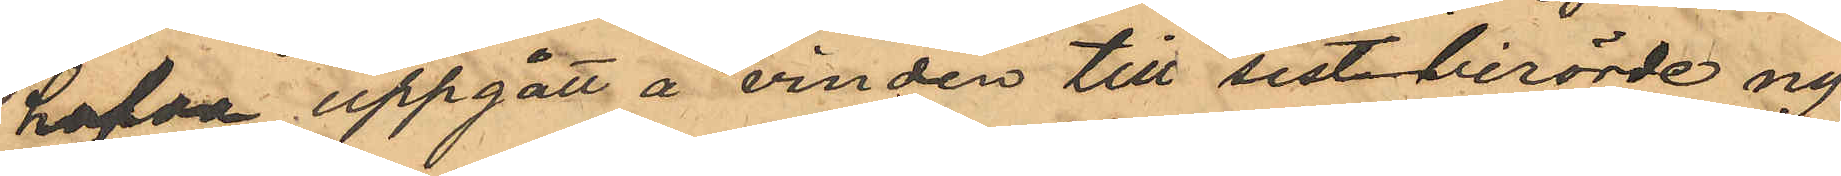hafva uppgått å vinden till sistberörde ny¬
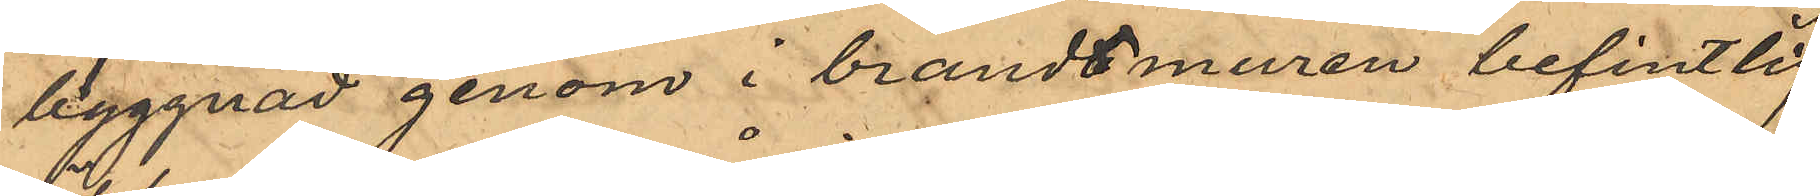byggnad genom i brandtmuren befintlig
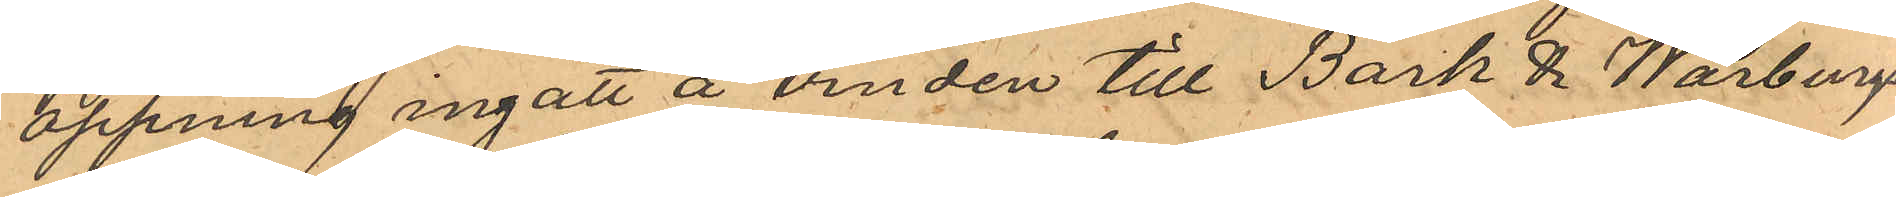öppning ingått å vinden till Bark & Warburgs
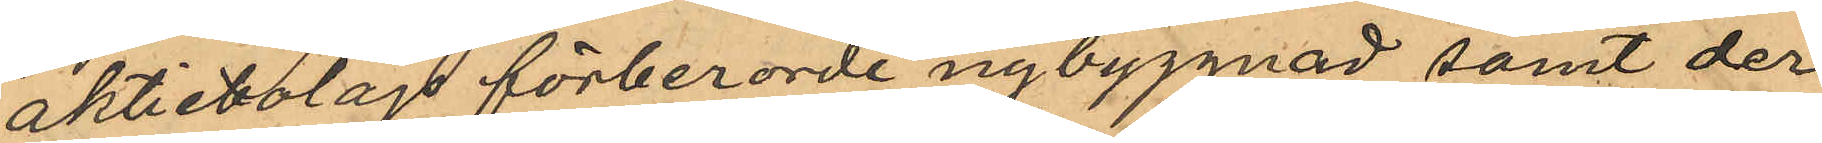aktiebolags förberorde nybyggnad samt der
